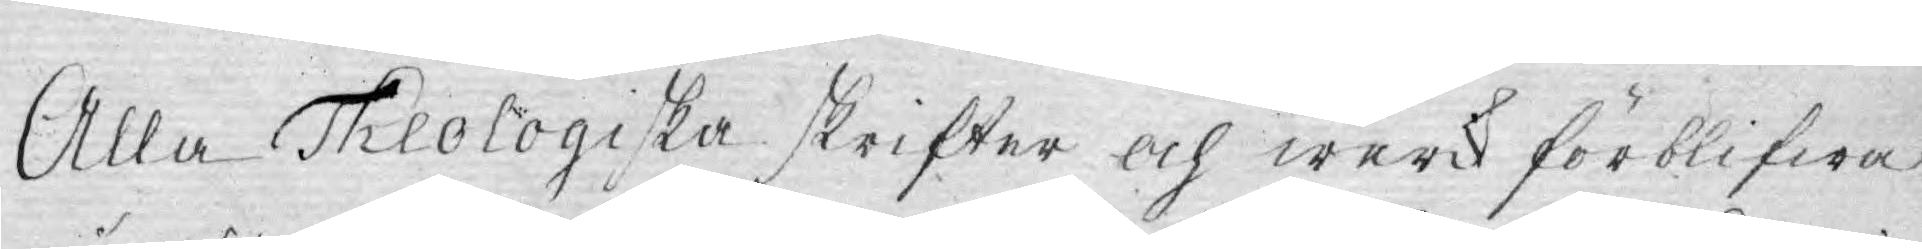Alla Theologiska skrifter och werck förblifwa
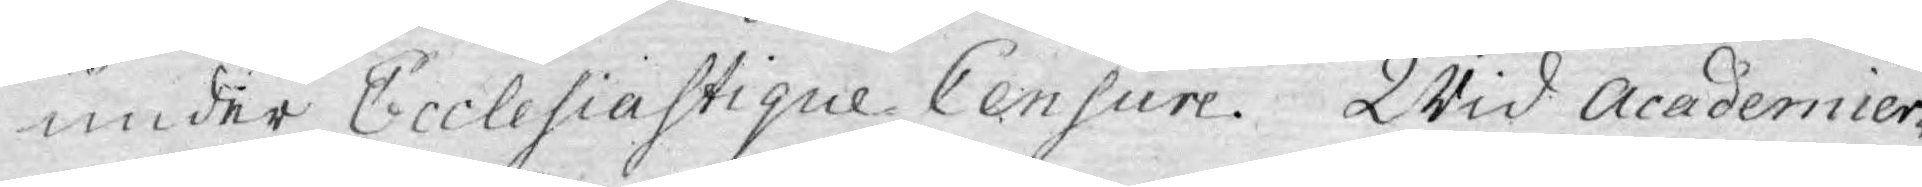under Ecclesiastique Censure. Wid Academier¬
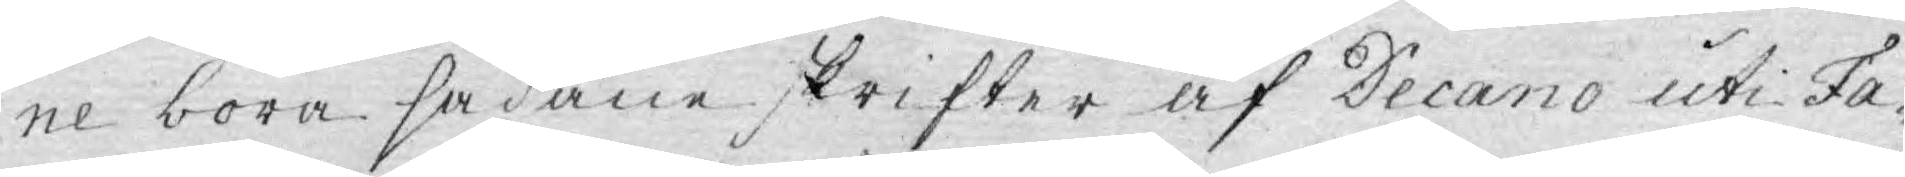ne böra sådane skrifter af Decano uti Fa¬
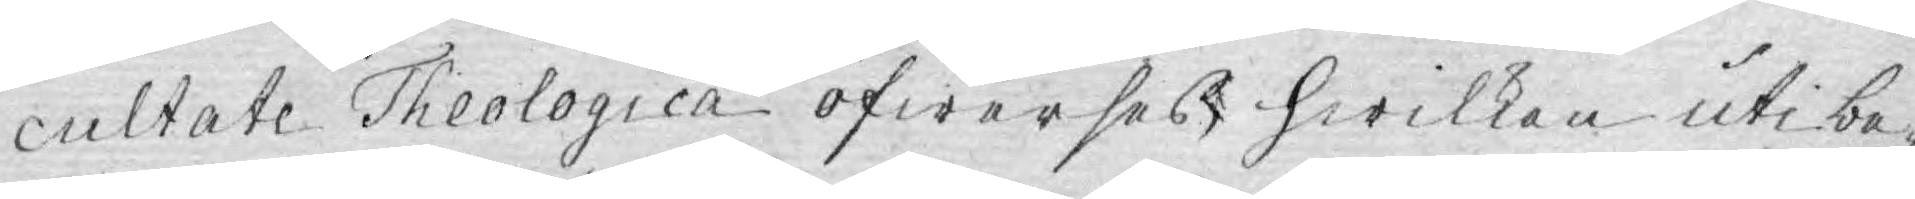cultate Theologica öfwerses, hwilken uti be¬
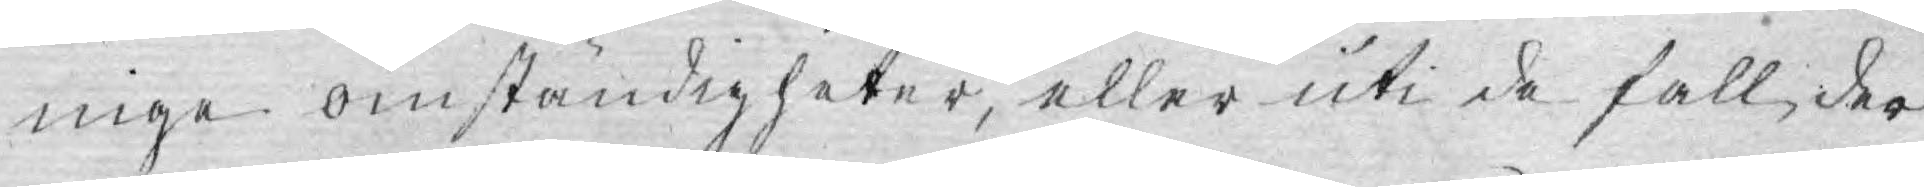nige omständigheter, eller uti de fall der
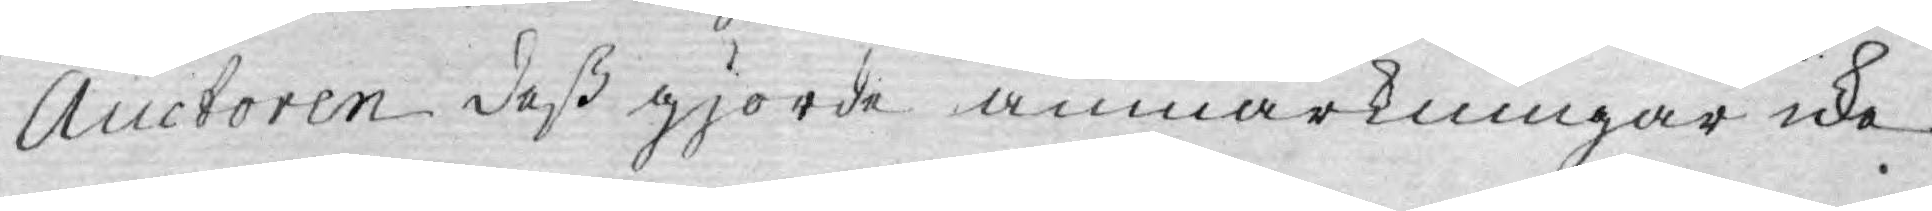Auctoren deß gjorde anmärkningar icke
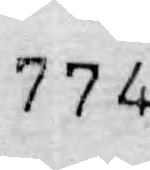774.
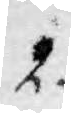2.
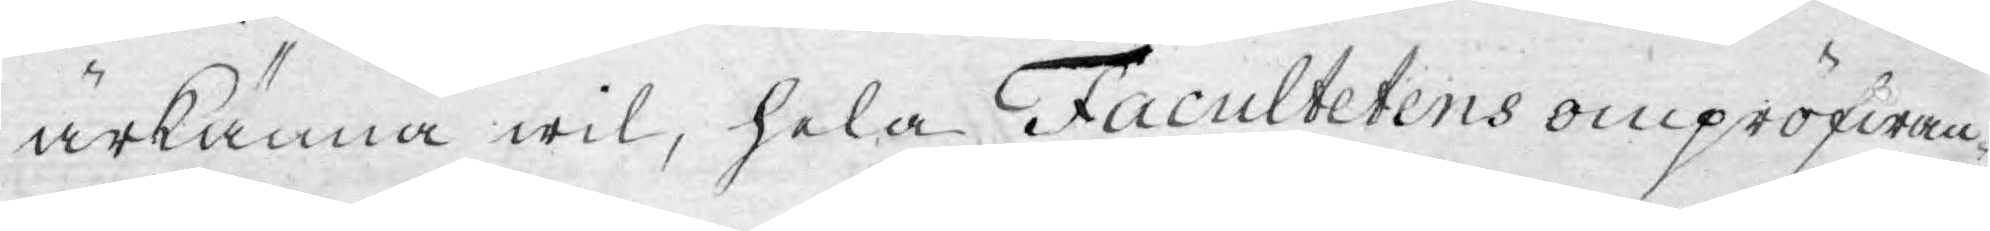ärkänna wil, hela Facultetens ompröfwan¬
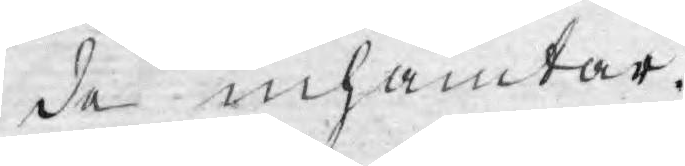de inhämtar.
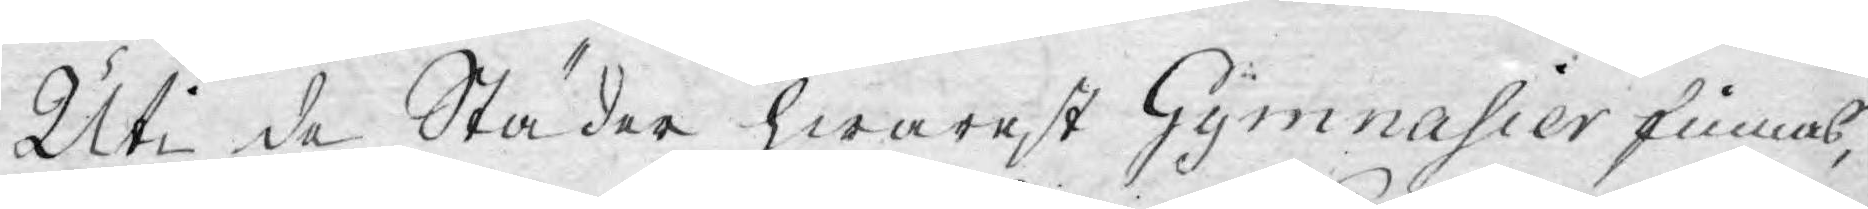Uti de Städer hwarest Gymnasier finnas,
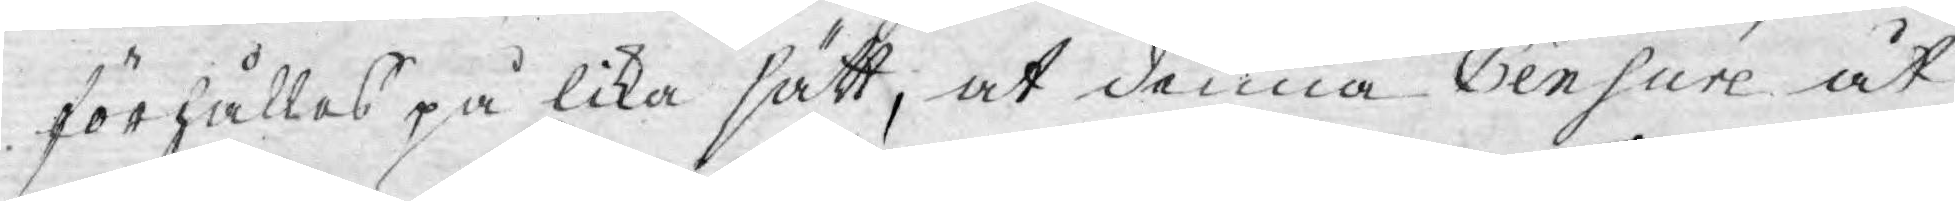förhållas på lika sätt, at denna Censure åt
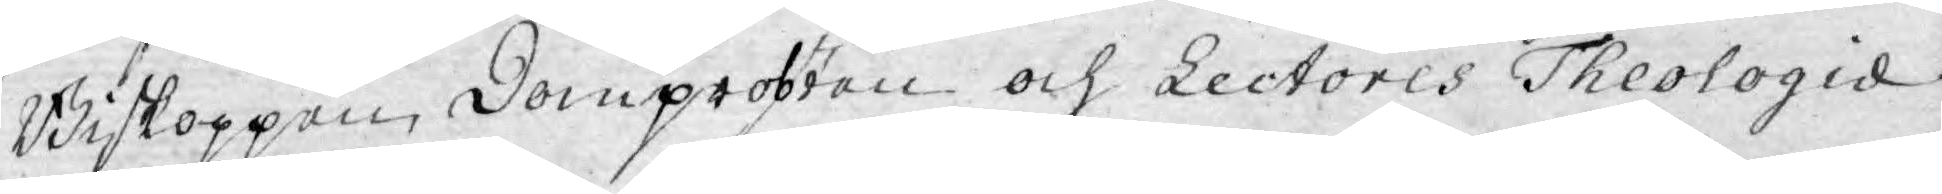Biskoppen, Domprobsten och Lectores Theologie
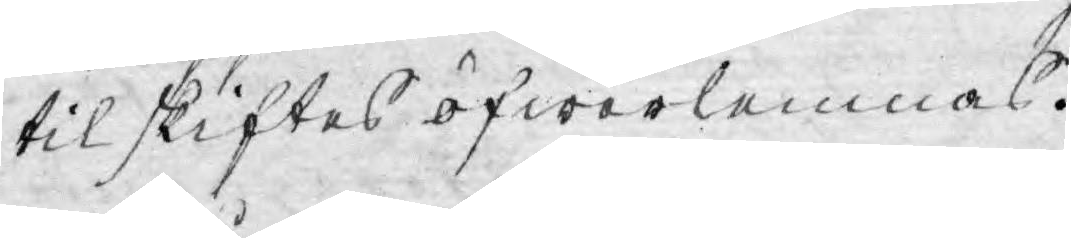til skiftes öfwerlemnas.
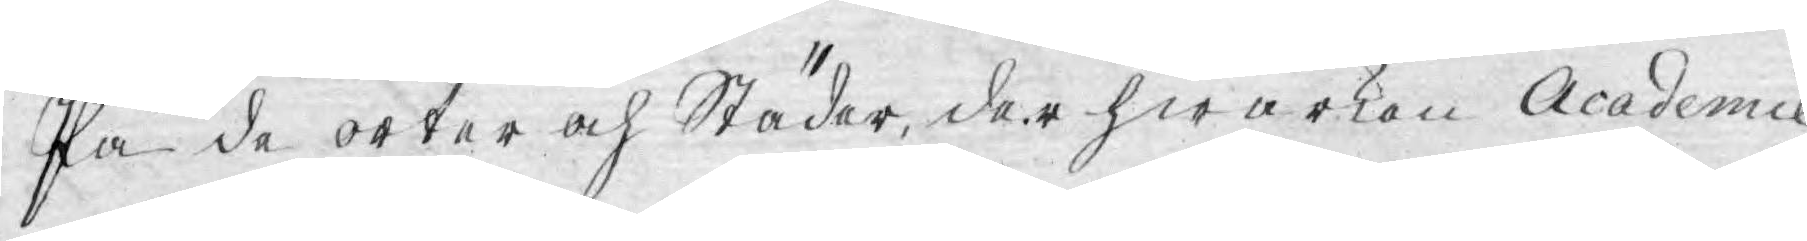På de orter och Städer, der hwarken Academie
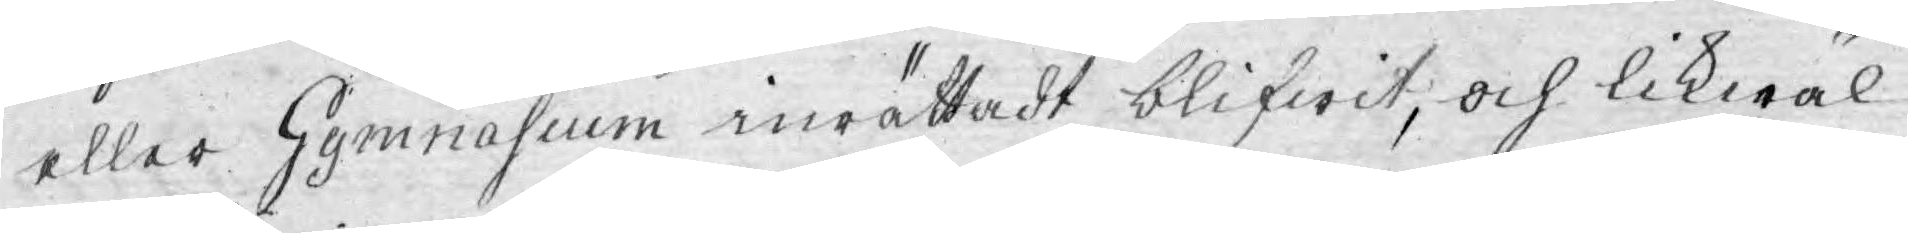eller Gymnasium inrättadt blifwit, och likwäl
